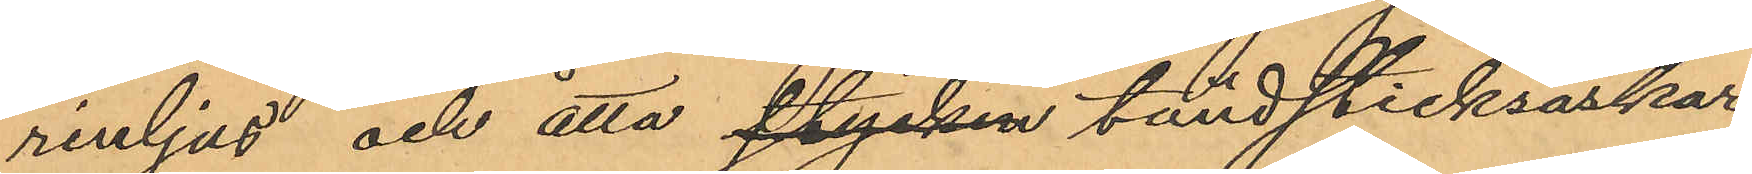rinljus och åtta stycken tändsticksaskar
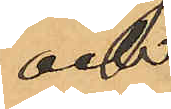och
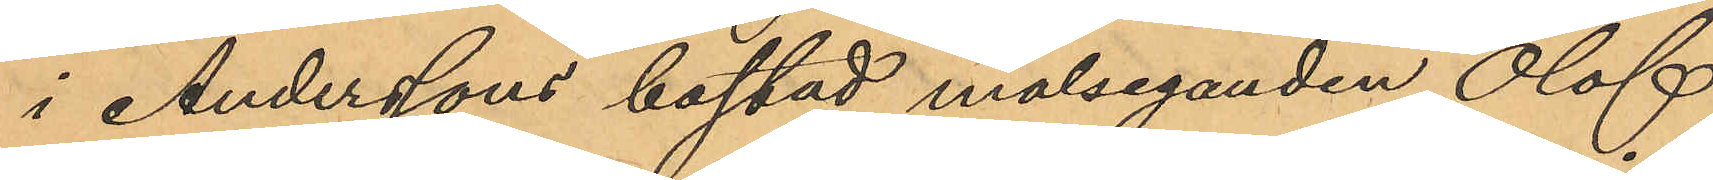i Anderssons bostad målseganden Olof
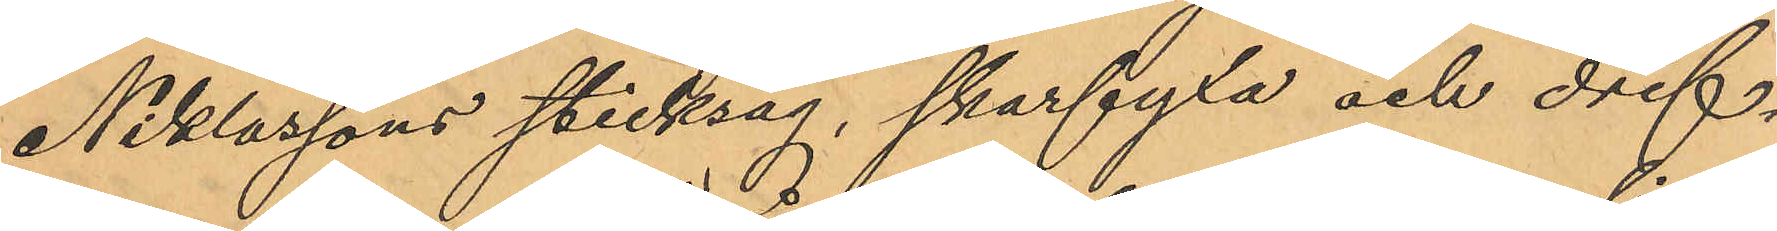Niklassons sticksåg, skarfyxa och drif¬
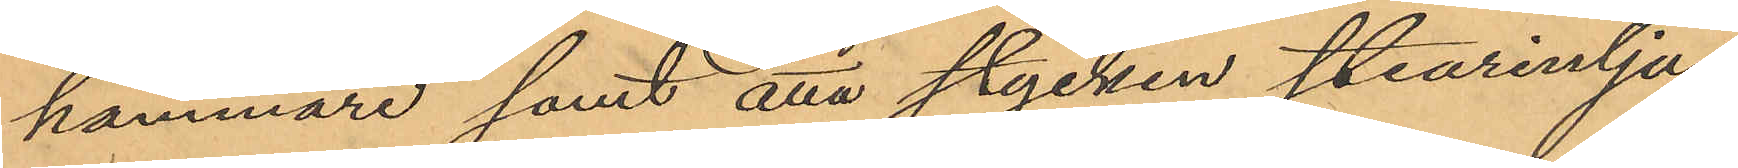hammare samt åtta stycken stearinljus
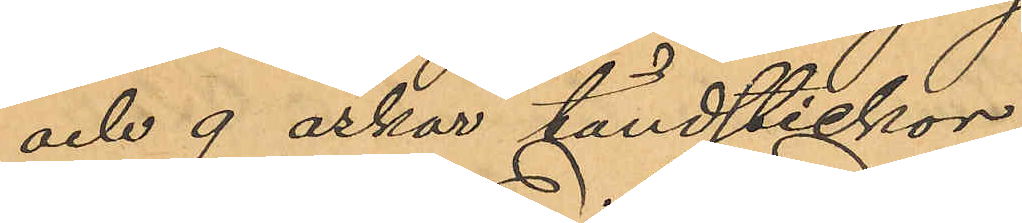och 9 askar tändstickor.
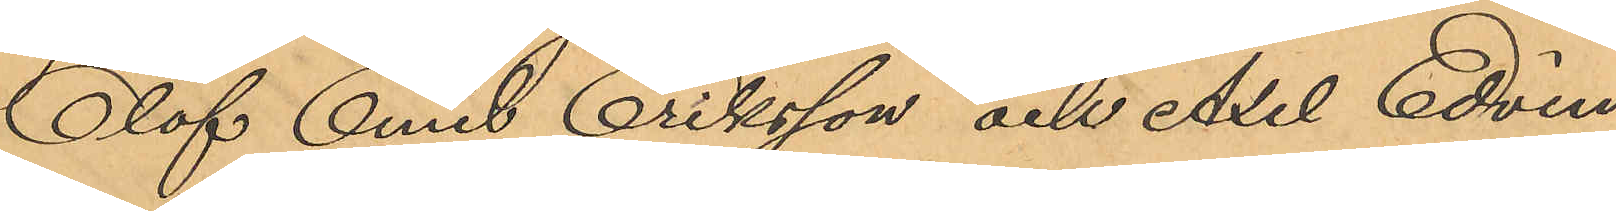Olof Emil Eriksson och Axel Edvin
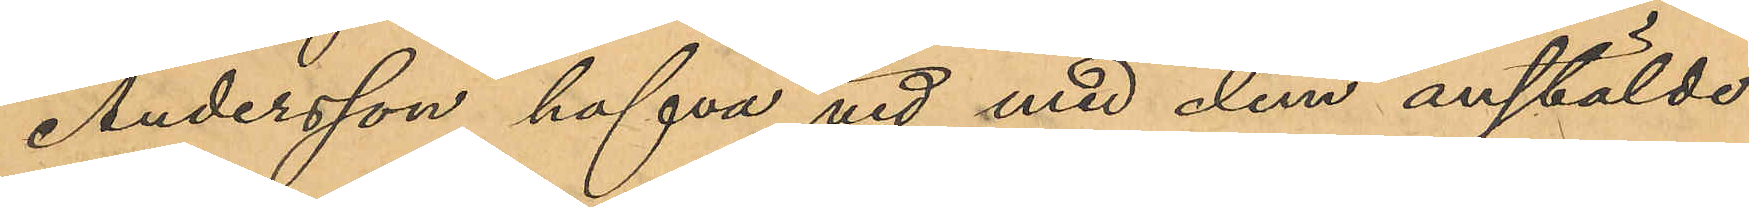Andersson hafva vid med dem anstälde
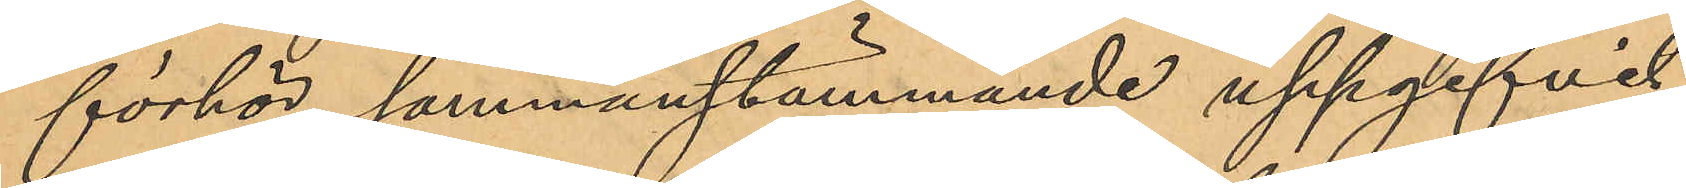förhör sammanstämmande uppgifvit
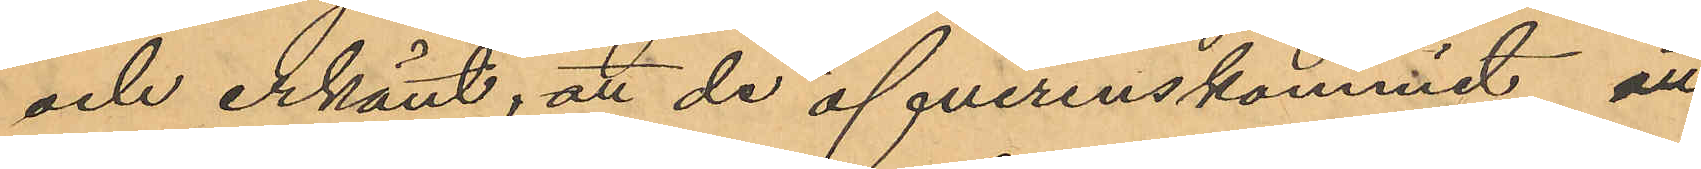och erkänt, att de öfverenskommit att
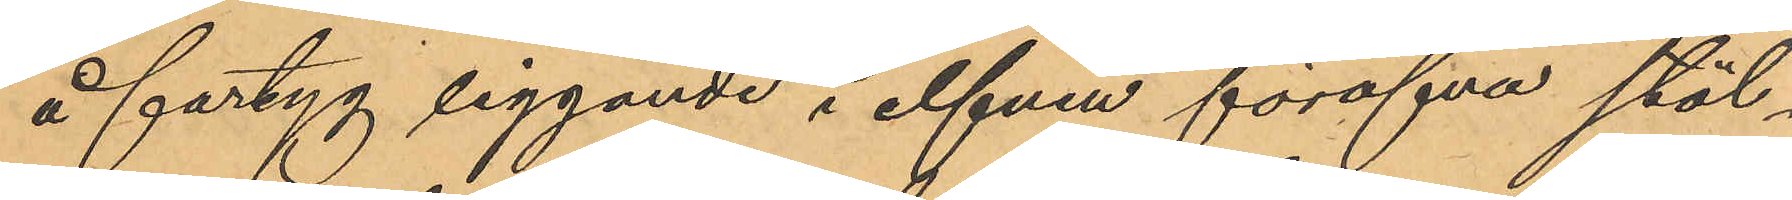å fartyg liggande i elfven föröfva stöl¬
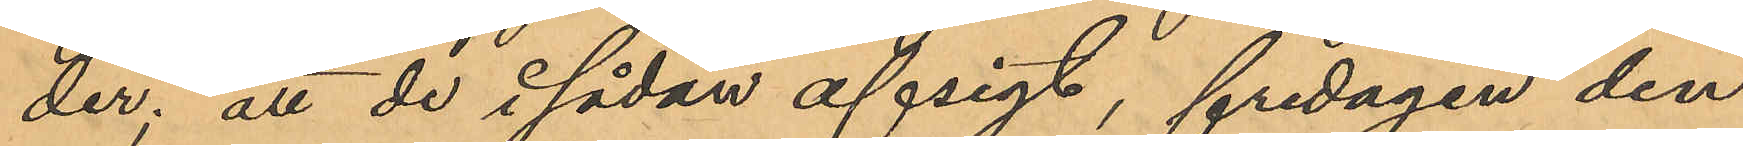der; att de i sådan afsigt, fredagen den
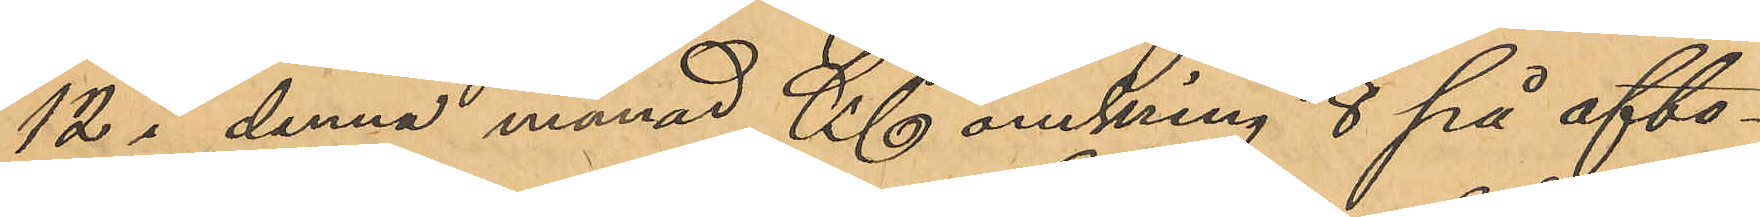12 i denna månad Kl omkring 8 på afto¬
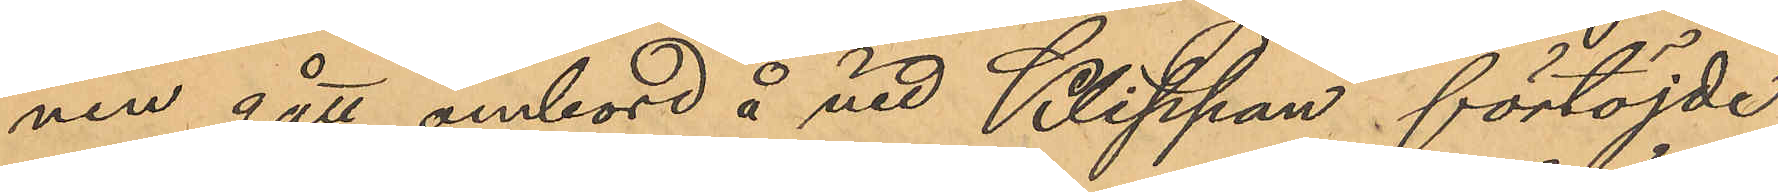nen gått ombord å vid Klippan förtöjde
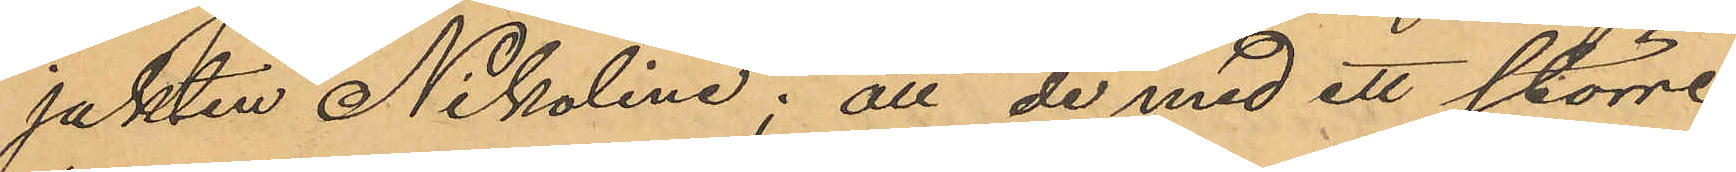jakten "Nikoline"; att de med ett större
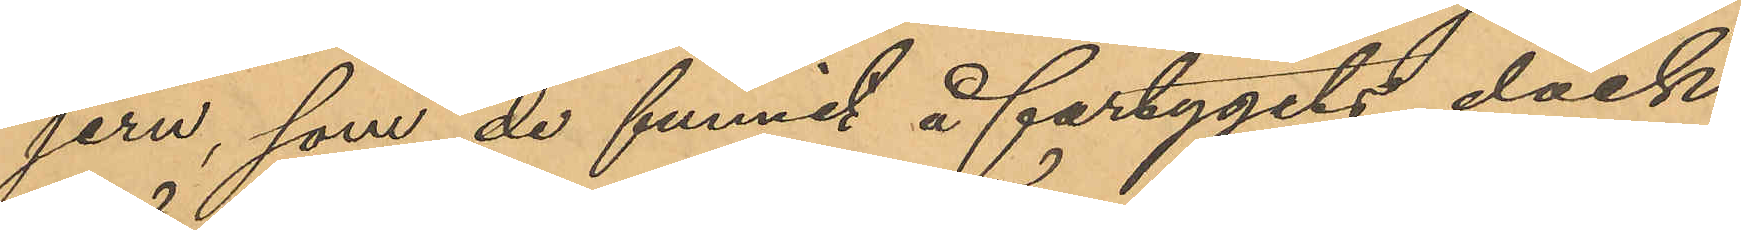jern, som de funnit å fartygets däck,
